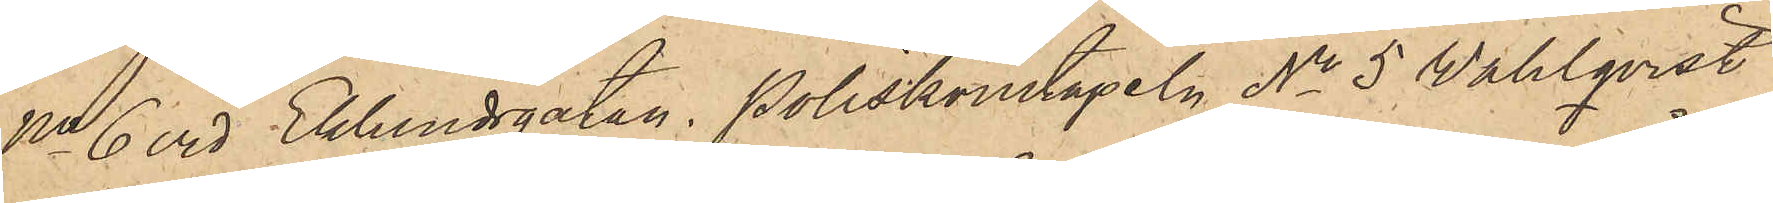No 6 vid Eklundsgatan, poliskonstapeln No 5 Wahlqvist
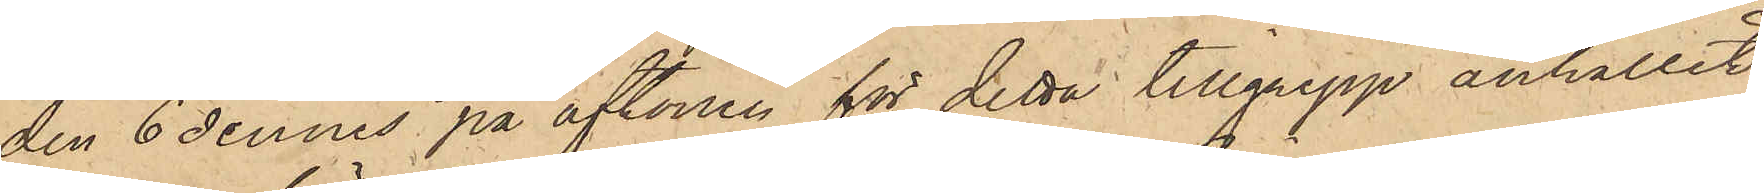den 6 dennes på aftonen för detta tillgrepp anhållit
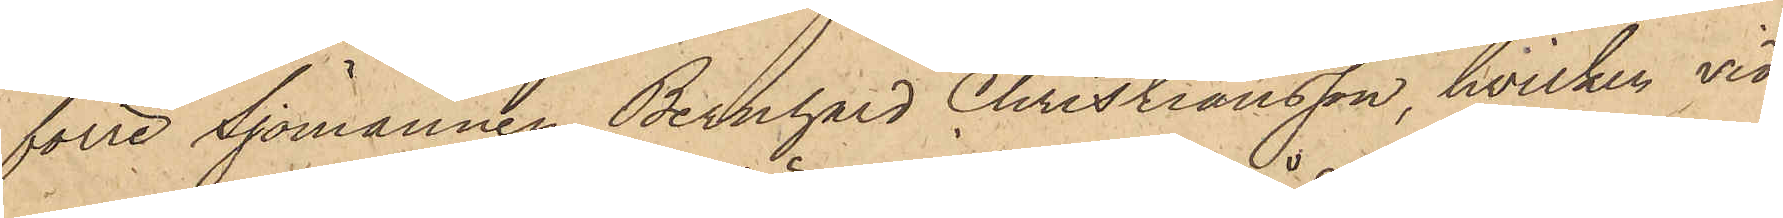förre Sjömannen Bernhard Christiansson, hvilken vid
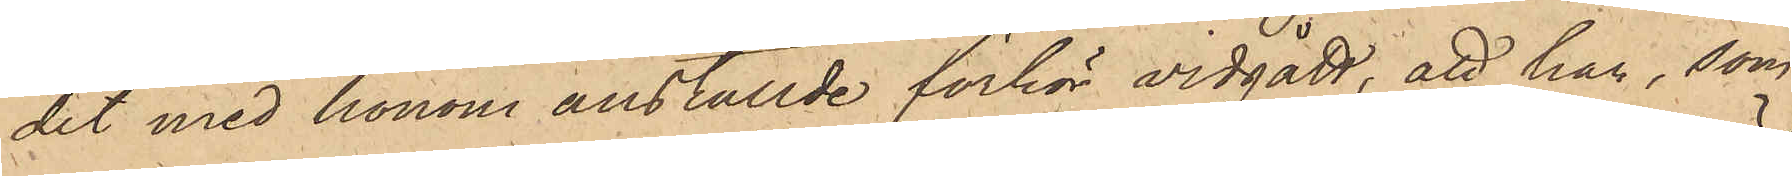det med honom anställde förhör vidgått, att han, som
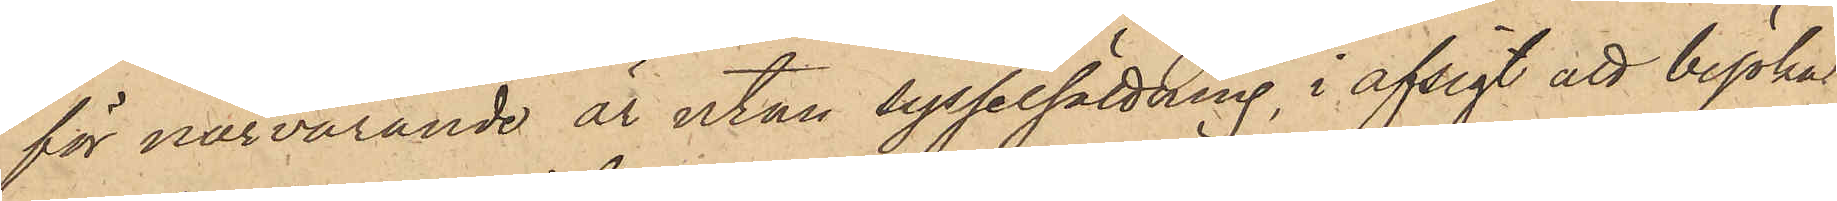för närvarande är utan sysselsättning, i afsigt att besöka
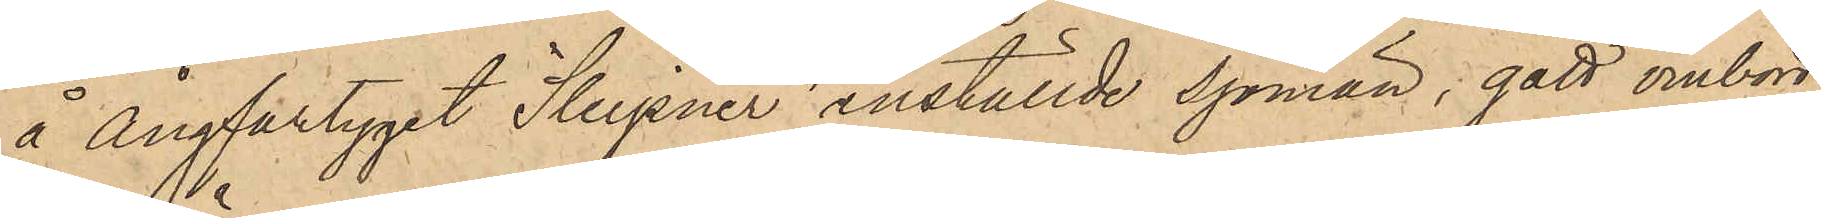å Ångfartyget "Sleipner" anställde sjömän, gått ombord
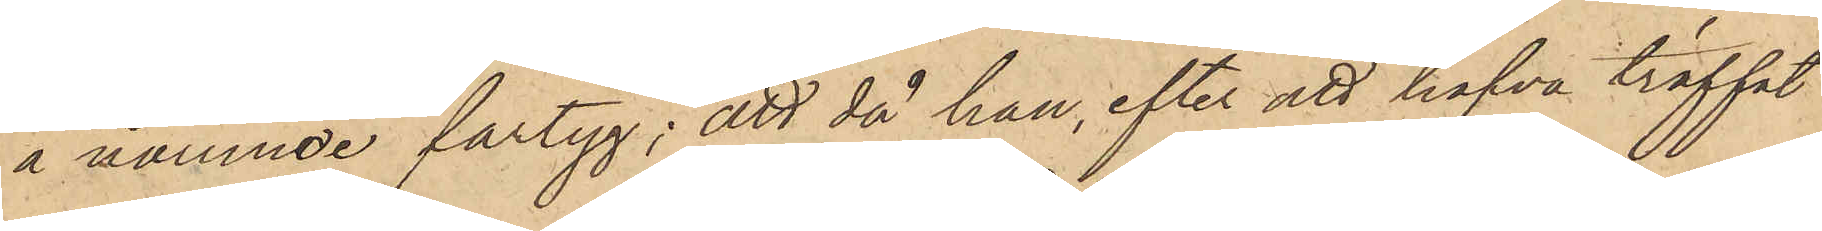å nämnde fartyg; att då han, efter att hafva träffat
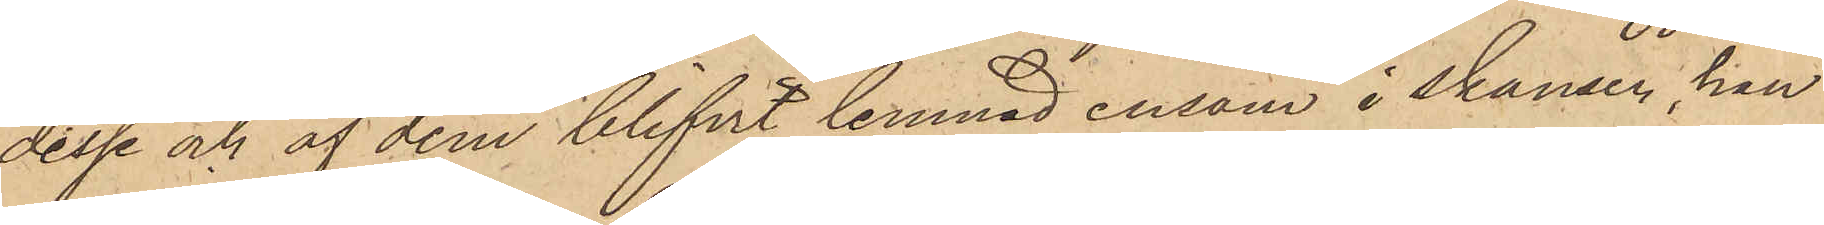desse och af dem blifvit lemnad ensam i skansen, han
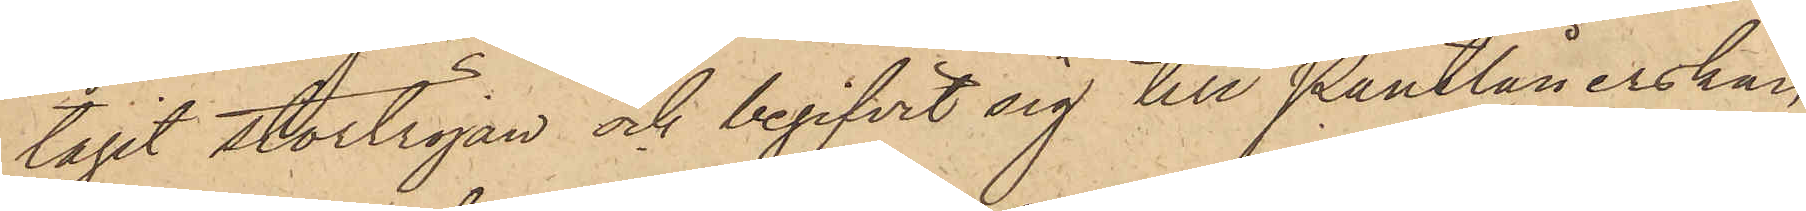tagit stortröjan och begifvit sig till Pantlånerskan
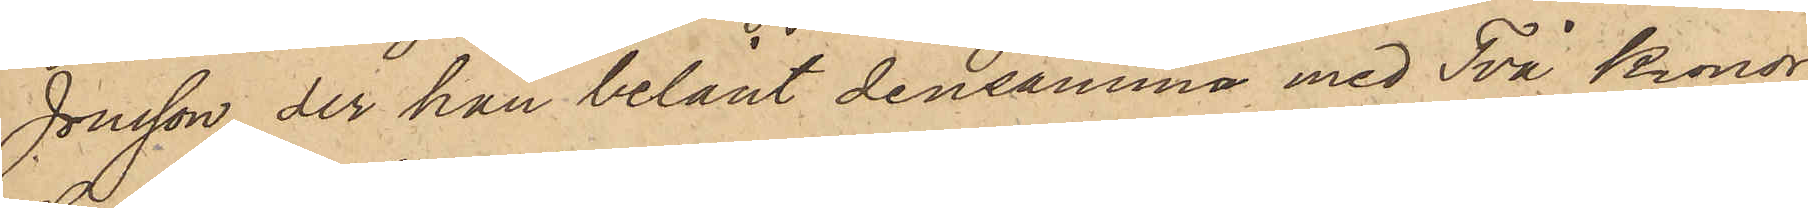Jonsson, der han belånt densamma med Två Kronor,
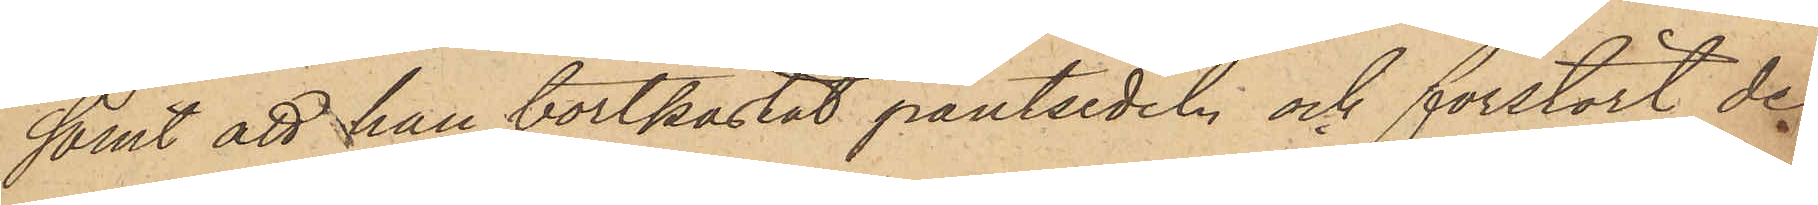samt att han bortkastat pantsedeln och förstört de
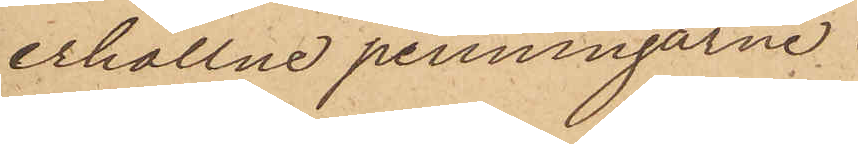erhållne penningarne.
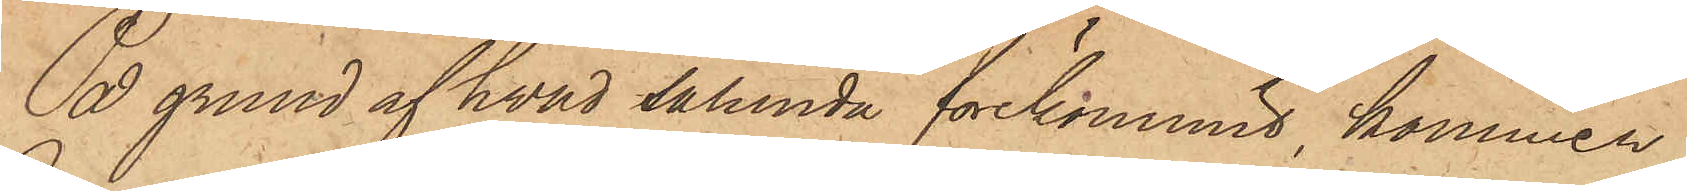På grund af hvad sålunda förekommit, kommer
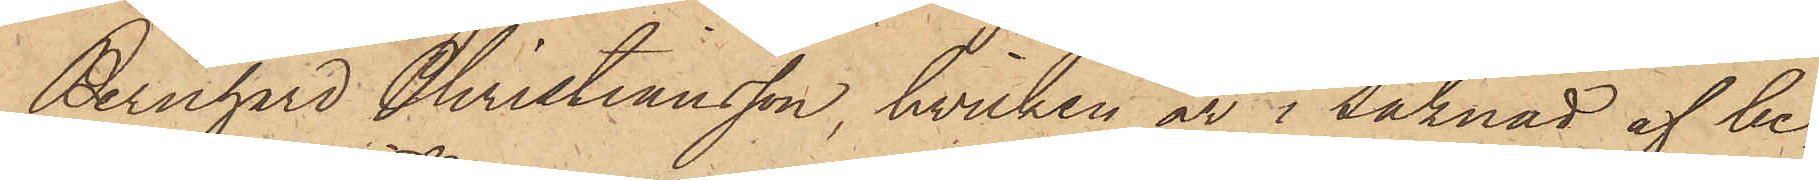Bernhard Christiansson, hvilken är i saknad af be¬
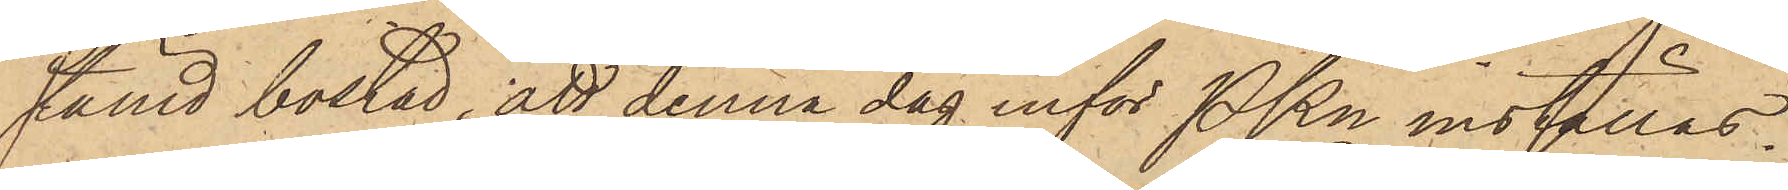stämd bostad, att denna dag inför PKn inställas.
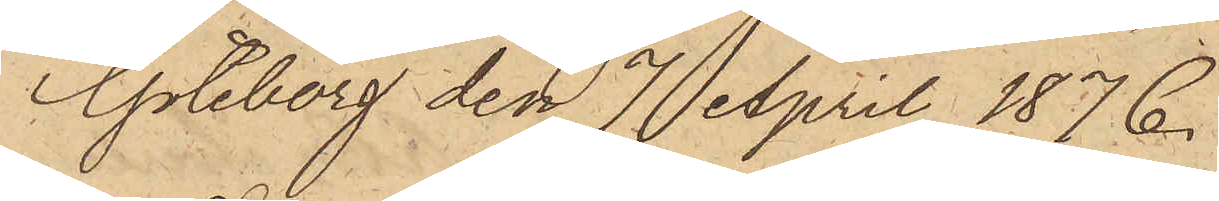Göteborg den 7 April 1876.
